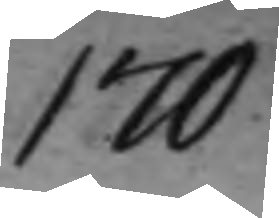170
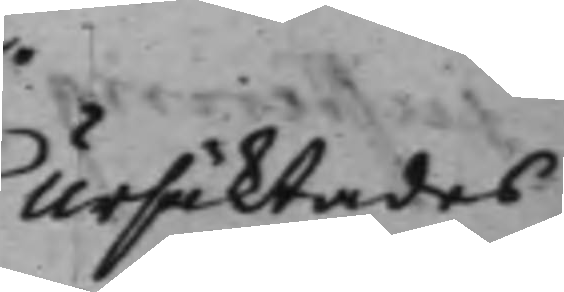Ursäktades
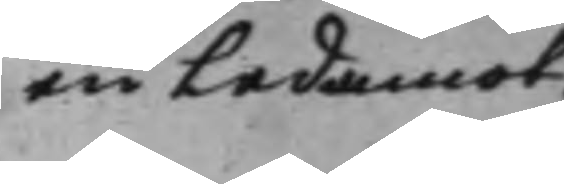en Ledamot.
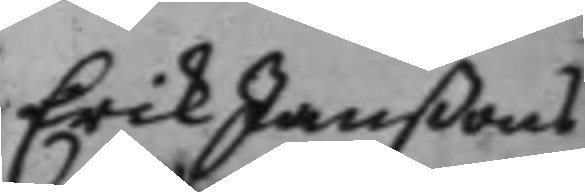Erik Janßons
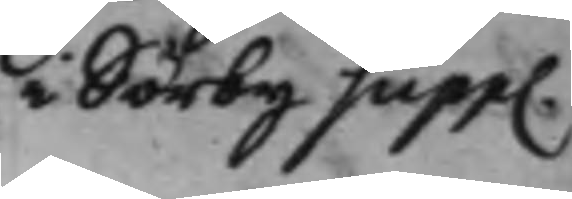i Sörby supp.
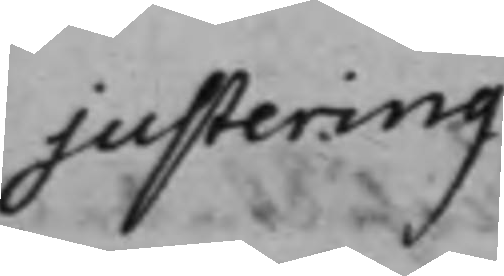justering
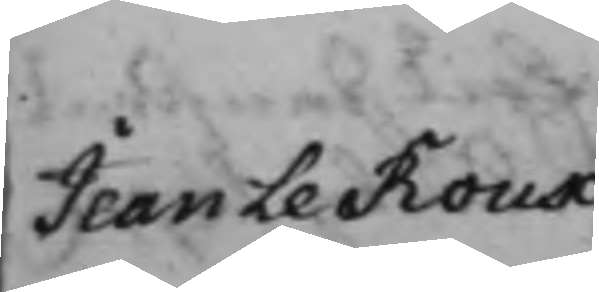Jean le Roux
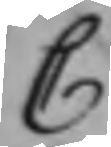C
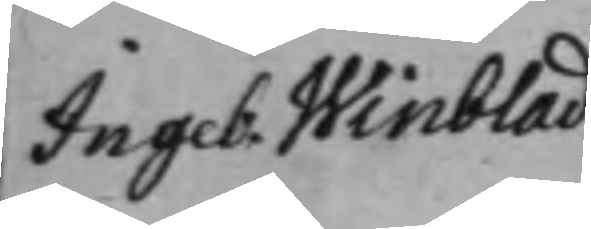Ingeb. Winblad
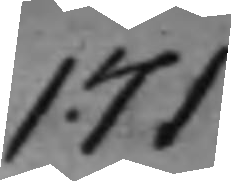171
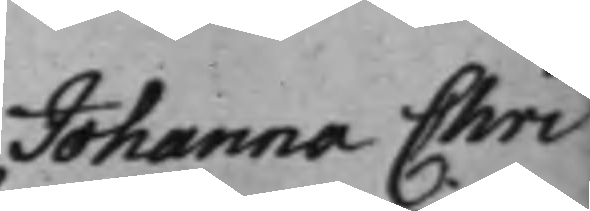Johanna Chri¬
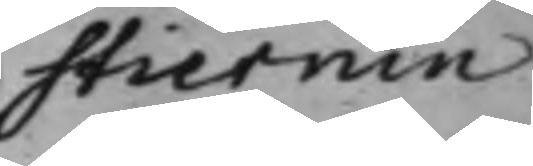stiernin
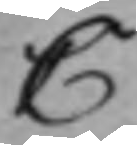C
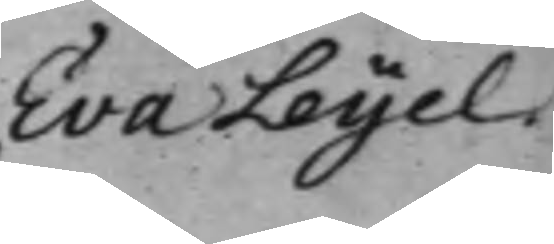Eva Leyel
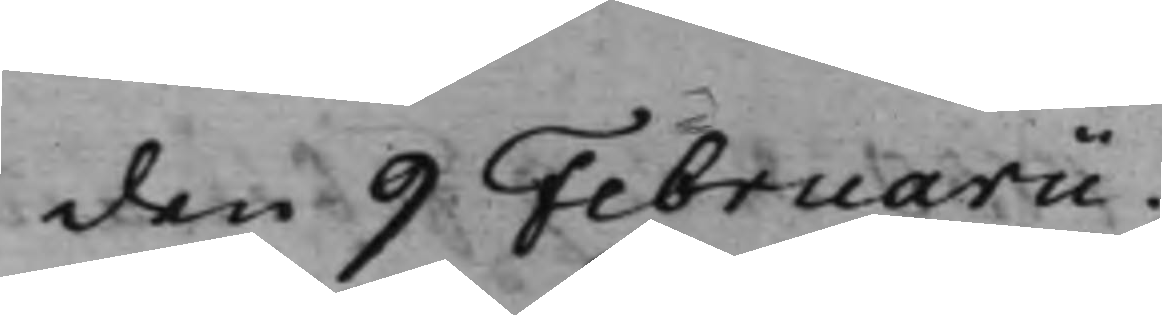den 9 Februarii.
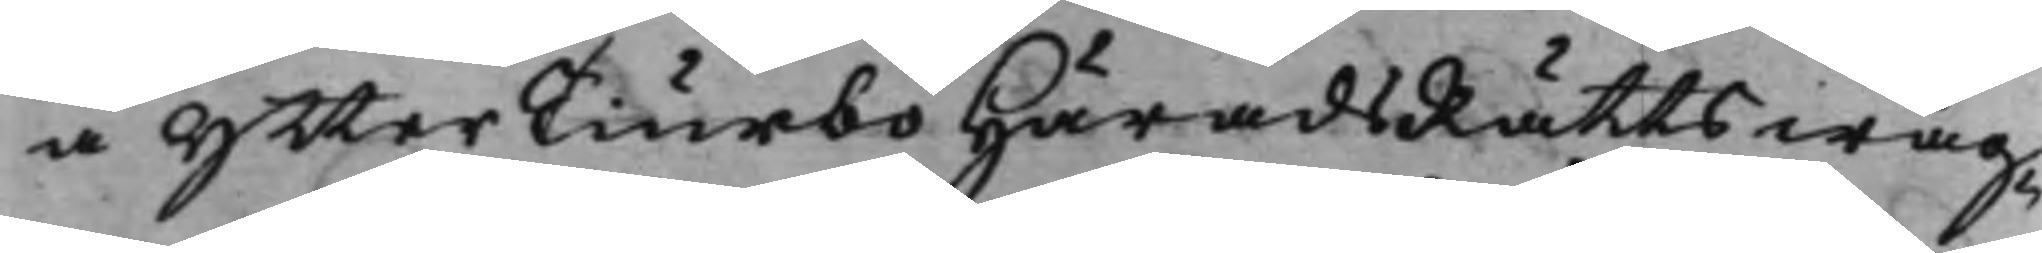å YtterTiurbo HäradsRätts wäg¬
